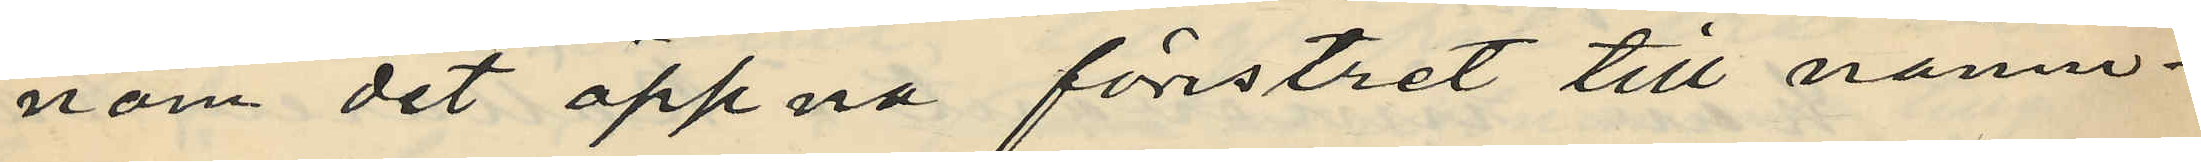nom det öppna förstret till nämn¬
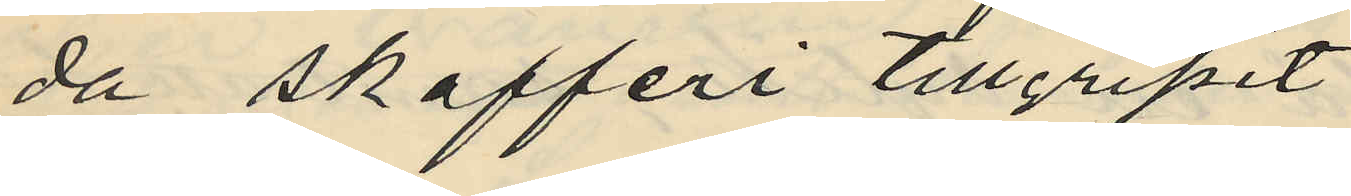da skafferi tillgripit
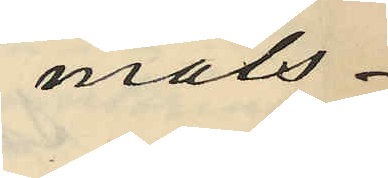måls¬
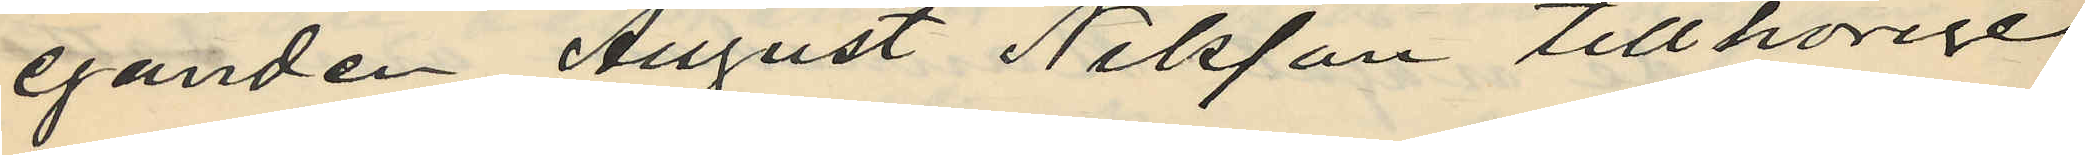eganden August Nilsson tillhörige
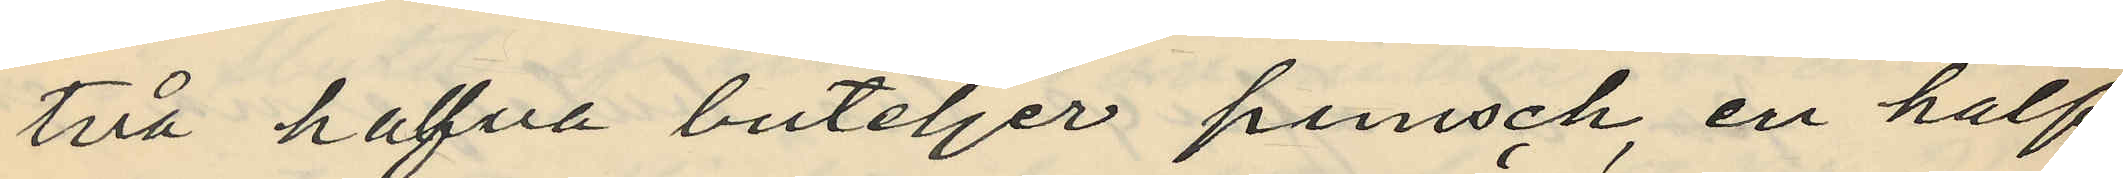två hafva buteljer punsch, en half
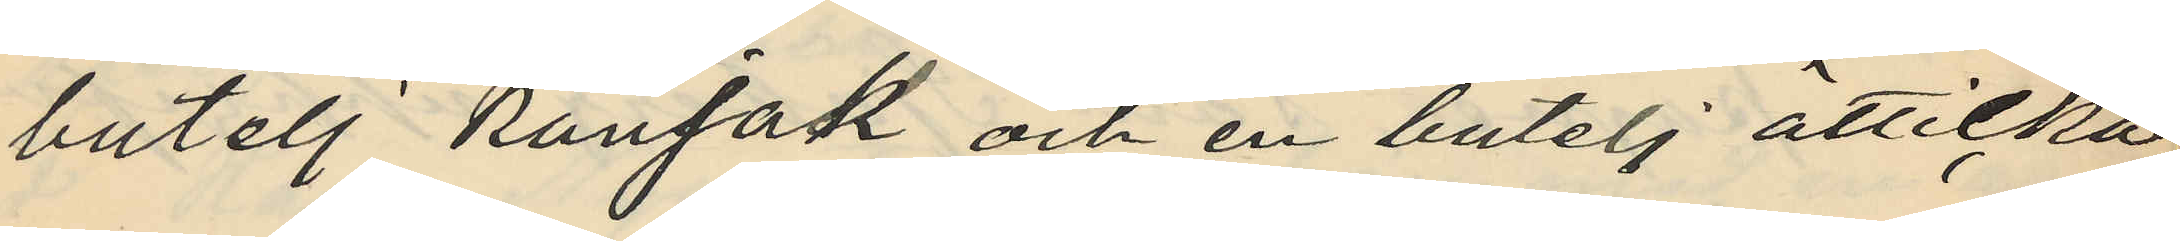butelj konjak och en butelj ätticka
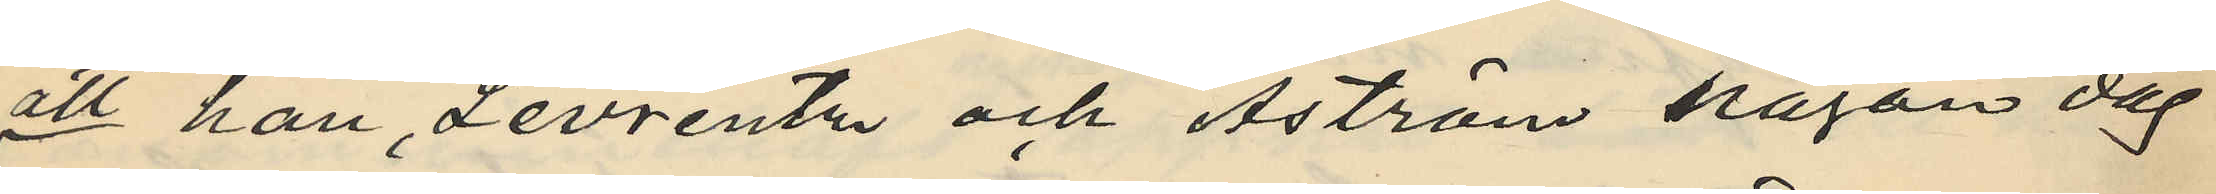att han, Levrentz och Åström någon dag
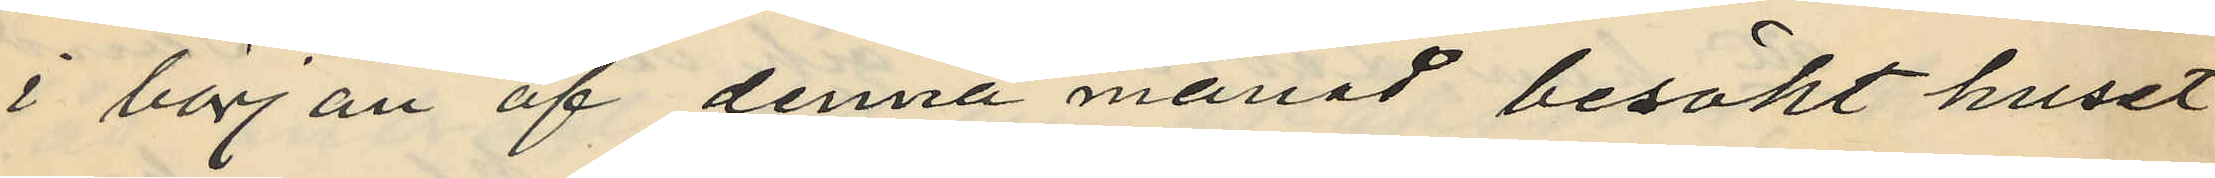i början af denna månad besökt huset
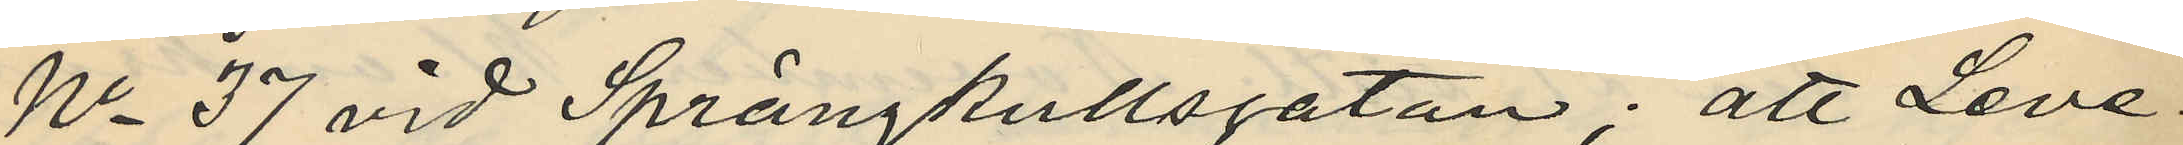No 37 vid Sprängkullsgatan; att Leve¬
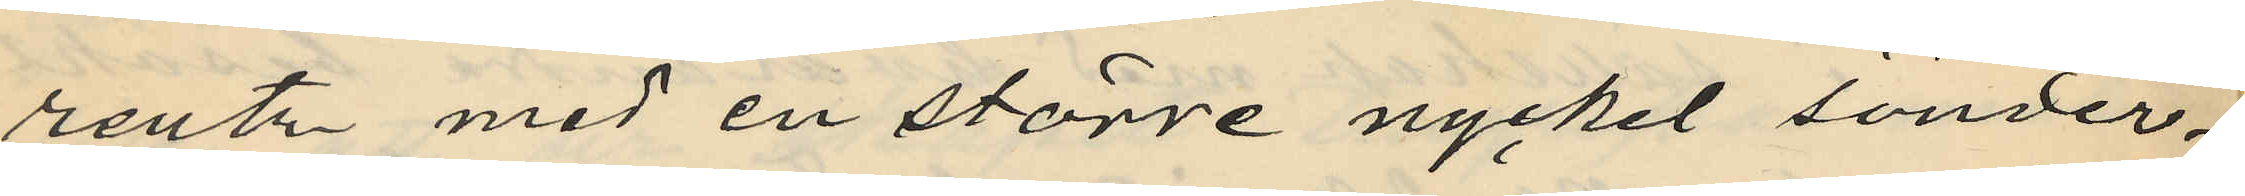rentz med en större nyckel sönder¬
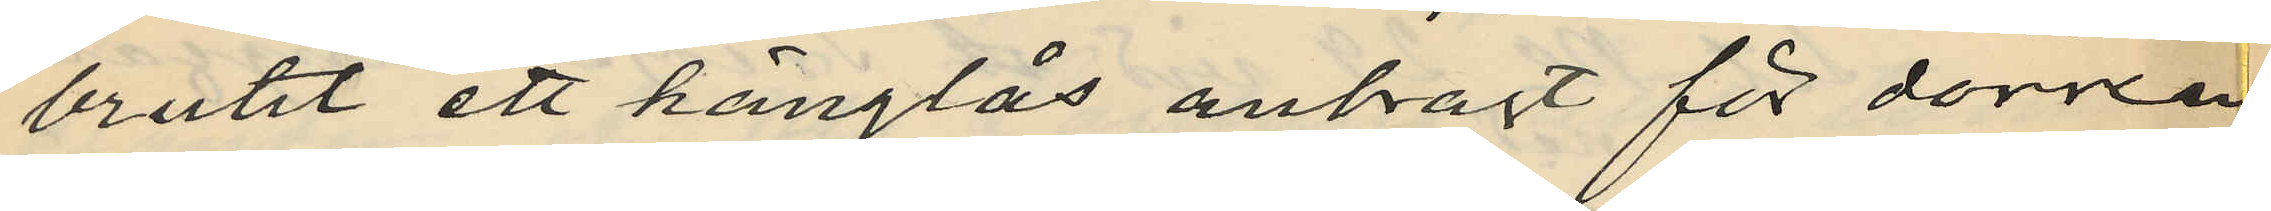brutit ett hänglås anbragt för dörren
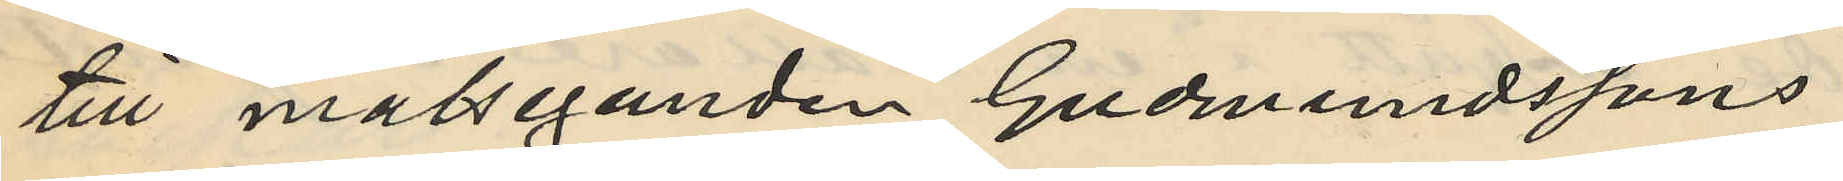till målseganden Gudmundssons
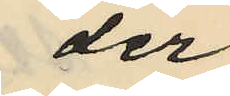der
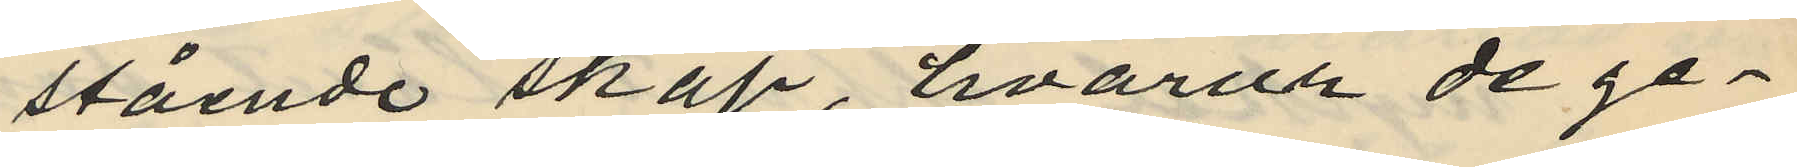stående skåp, hvarur de ge¬
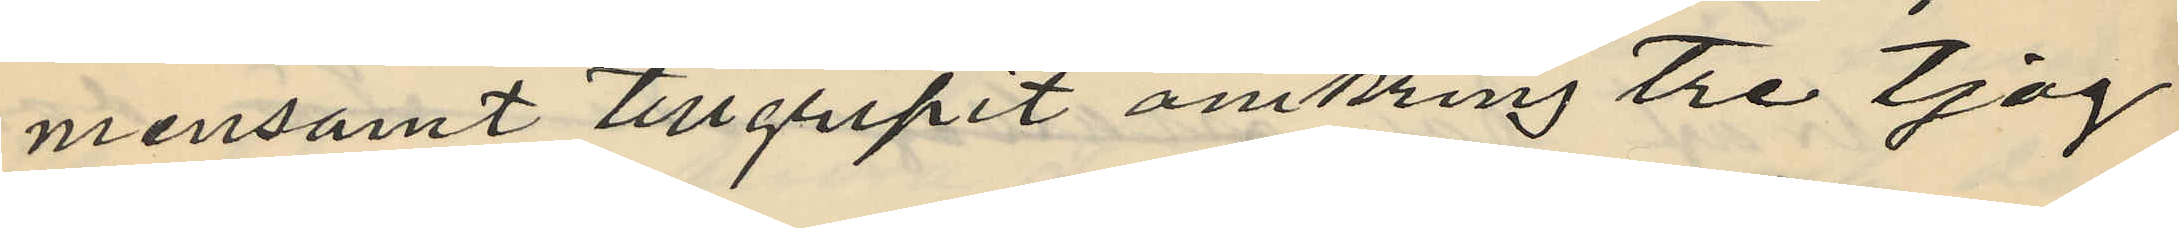mensamt tillgripit omkring tre tjog
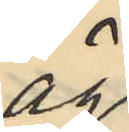ägg
